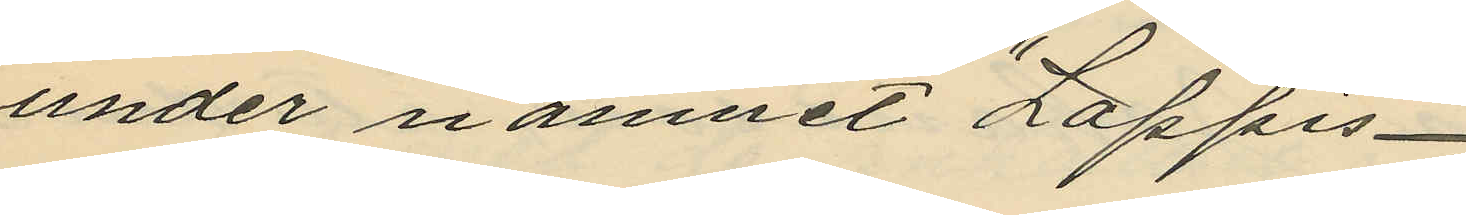under namnet "Lappis"
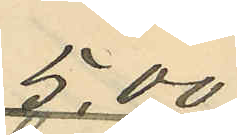5,00
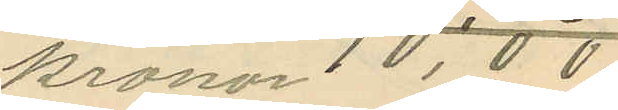kronor 10,00
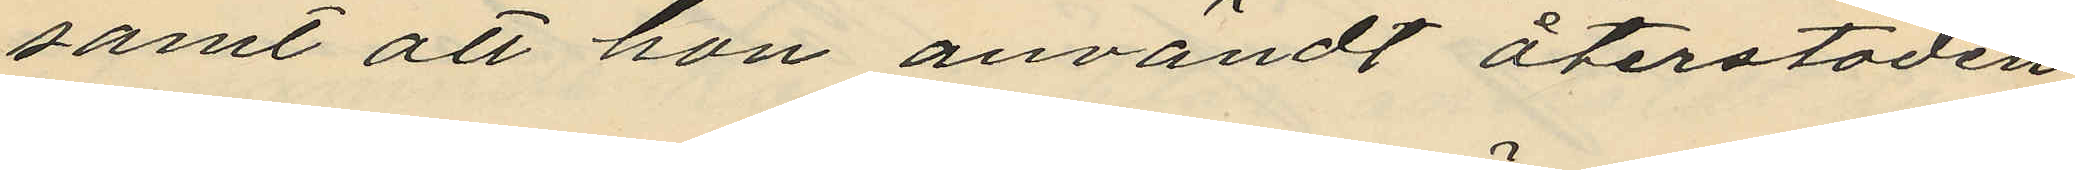samt att hon användt återstoden
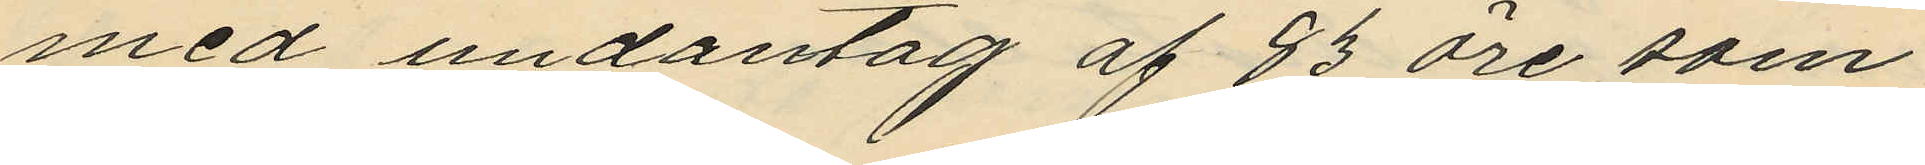med undantag af 83 öre som
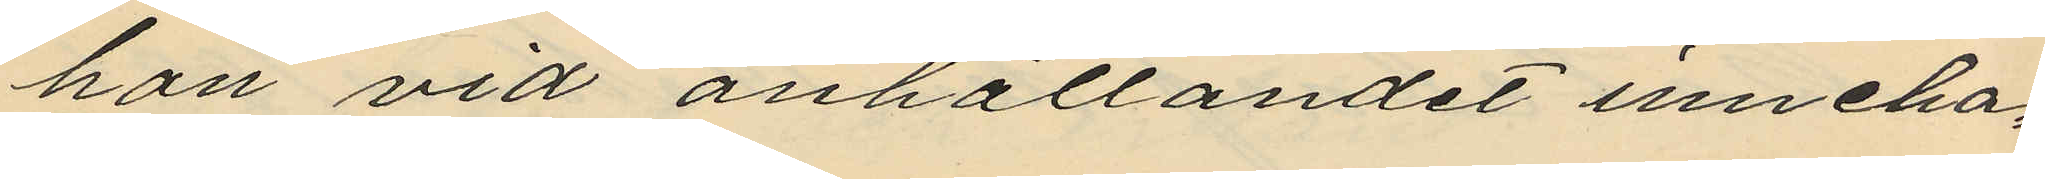hon vid anhållandet inneha¬
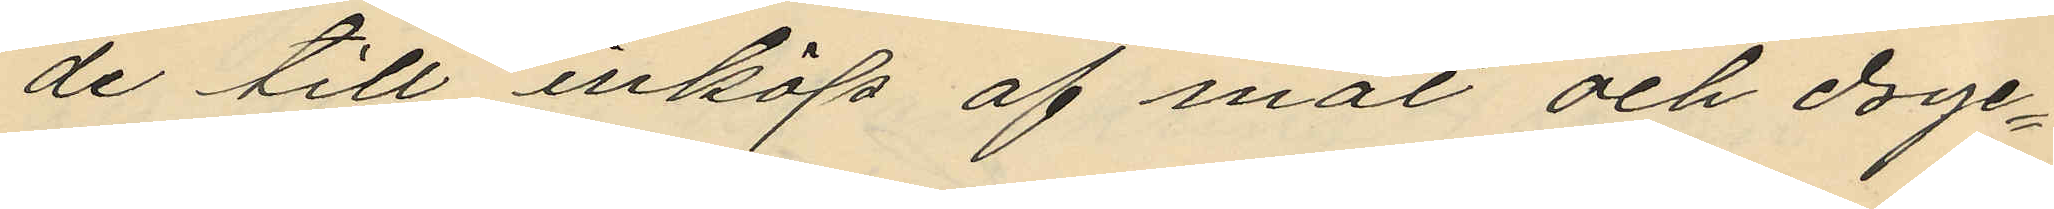de till inköp af mat och drykes¬
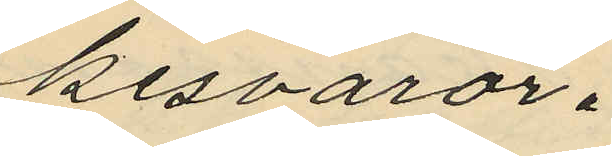varor.
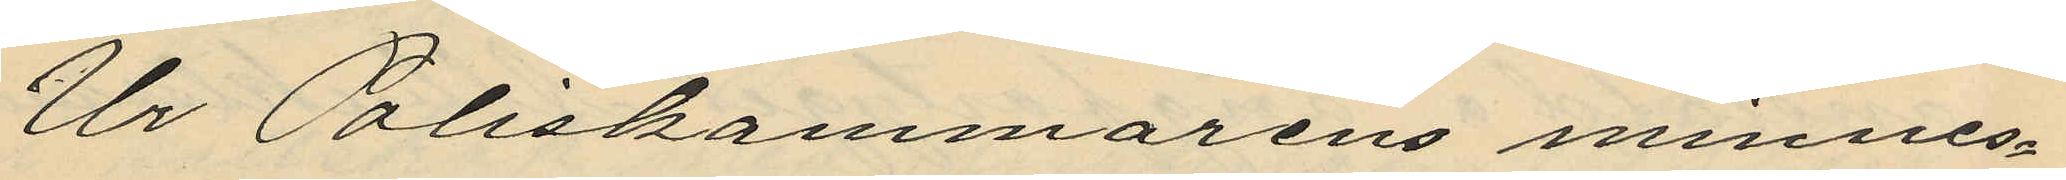Ur Poliskammarens minnes¬
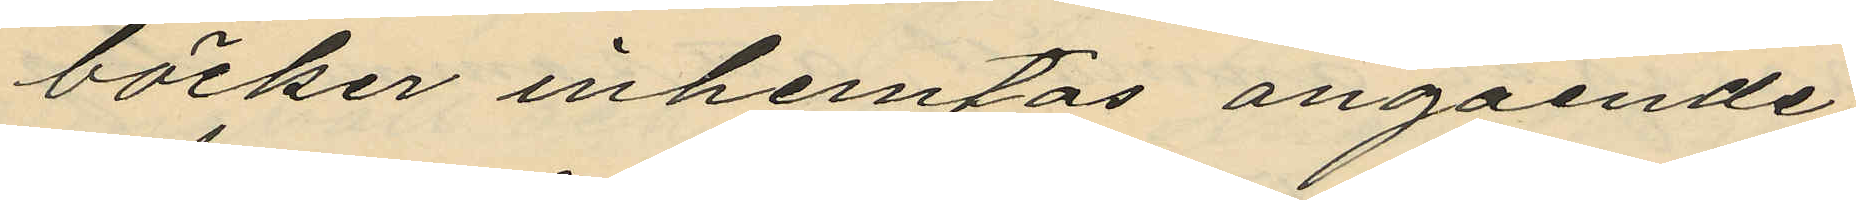böcker inhemtas angående
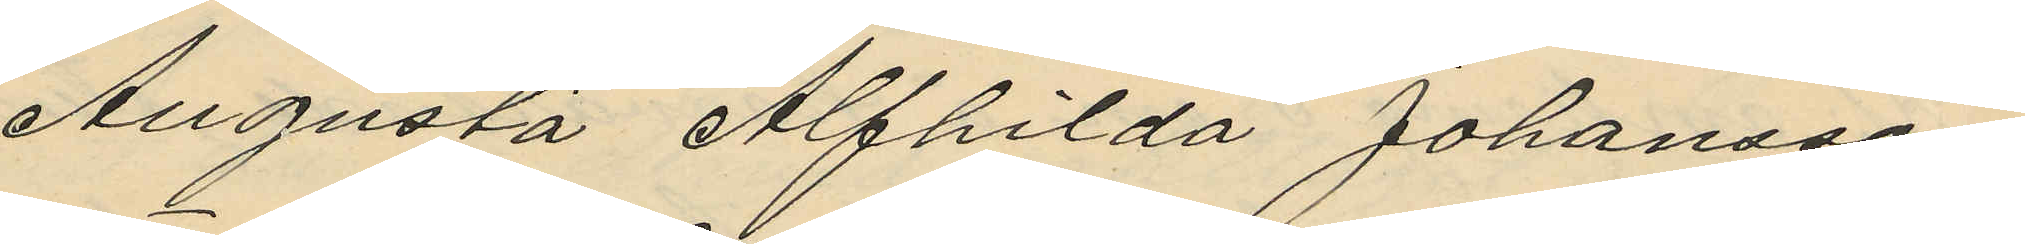Augusta Alfhilda Johansson
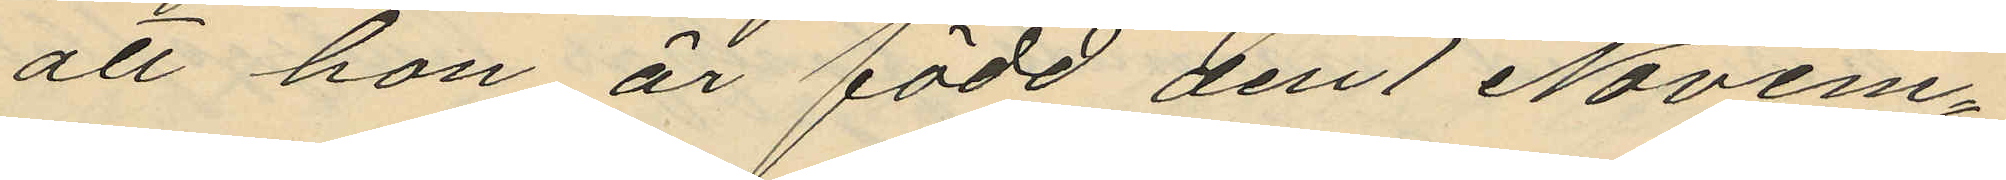att hon är född den 1 Novem¬
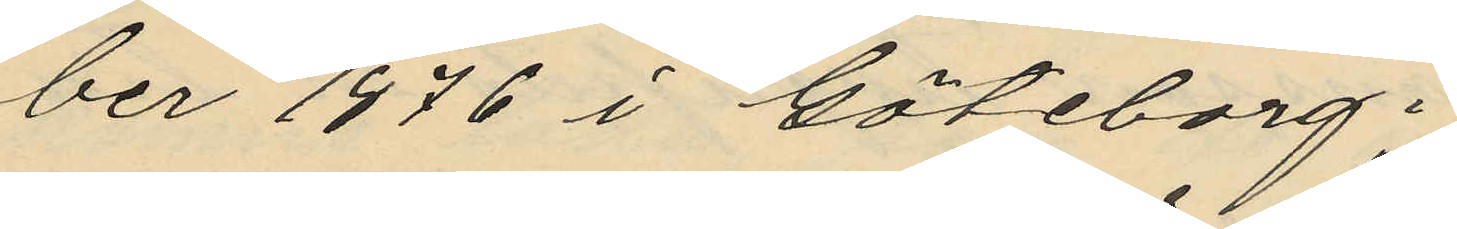ber 1876 i Göteborg;
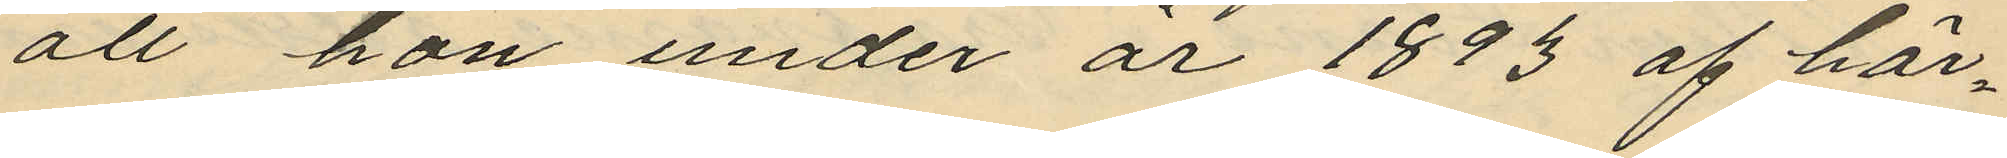att hon under år 1893 af här¬
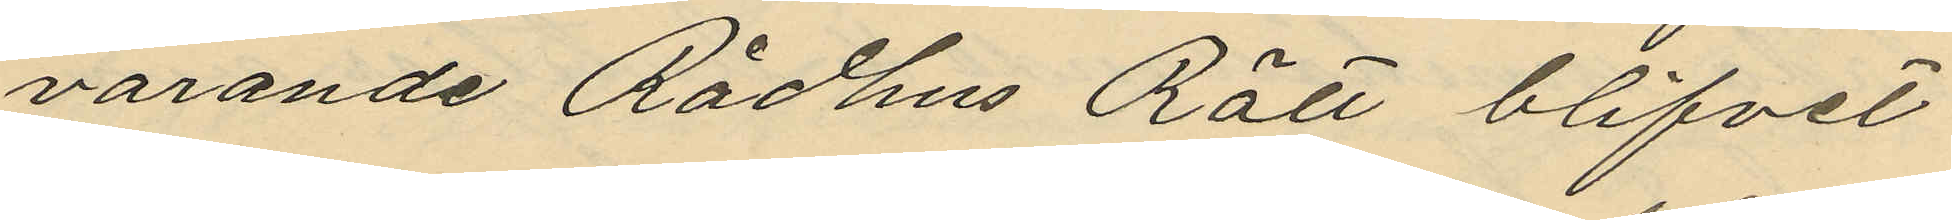varande Rådhus Rätt blifvit
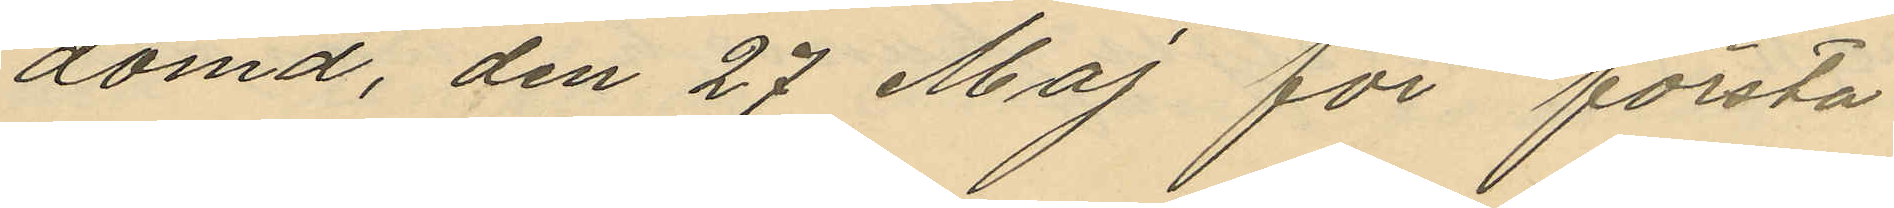dömd, den 27 Maj för första
